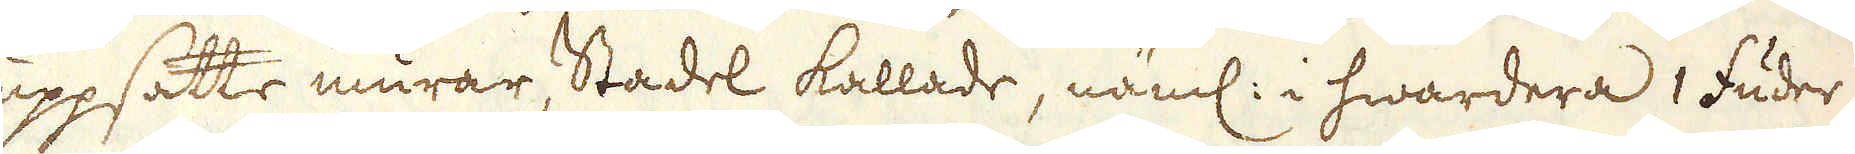uppsatte murar, Stadel kallade, näml: i hwardera 1 fuder
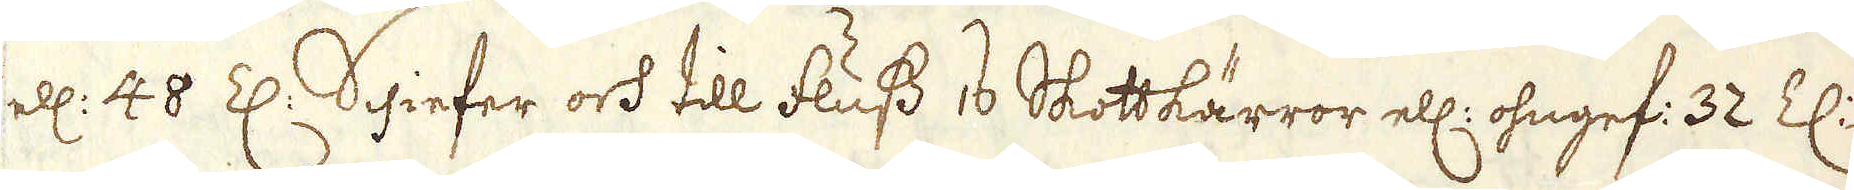ell: 48 Z: Schiefer och till fluss 16 Skottkärror ell: ohngef: 32 Z:
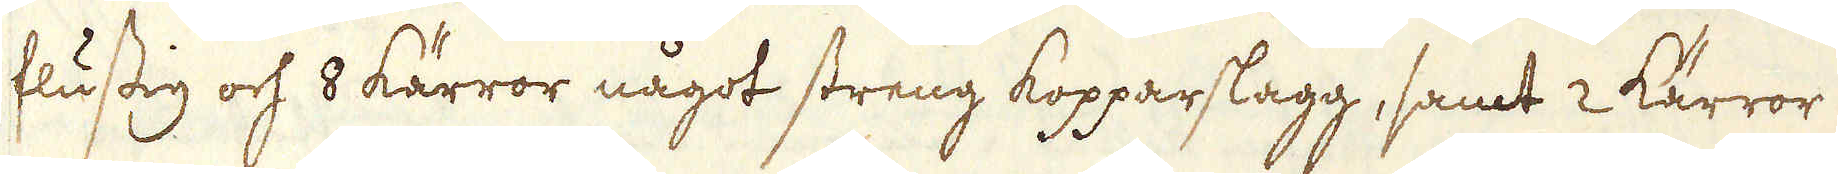flusstig och 8 kärror något streng kopparslagg, samt 2 kärror
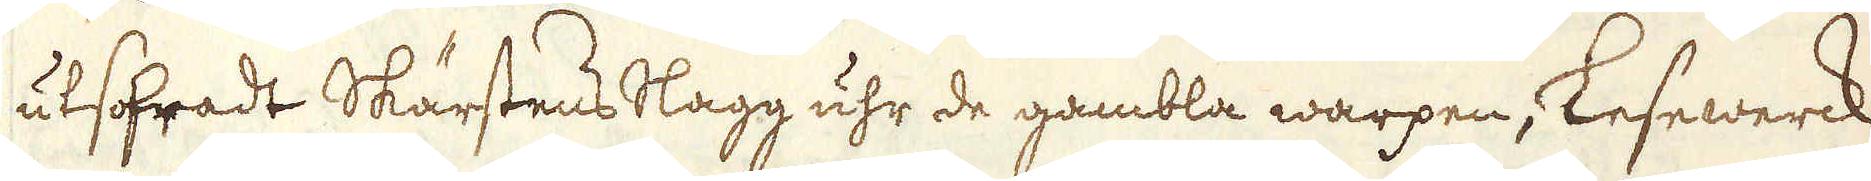utsofradt Skärstens slagg uhr de gambla warpen, Lesewerck
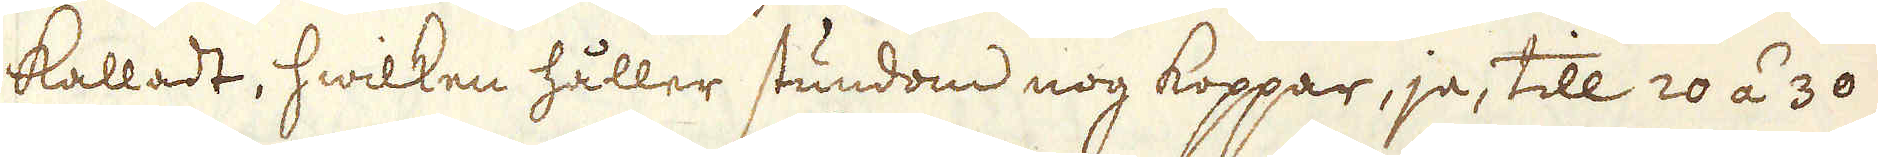kalladt, hwilken håller stundom nog koppar, ja, till 20 á 30
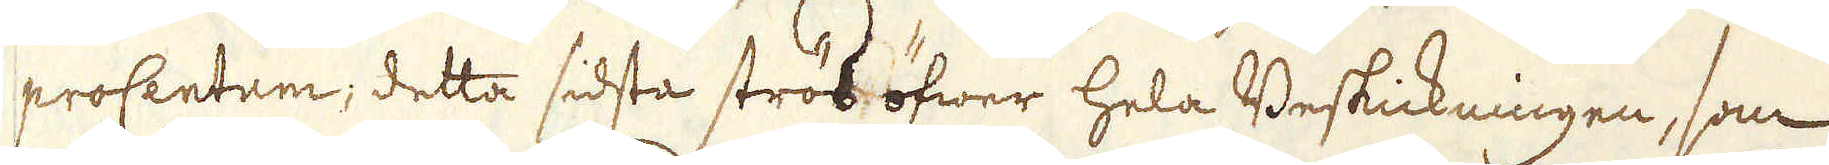proCentum; detta sidsta strös öfwer hela Beskickningen, som
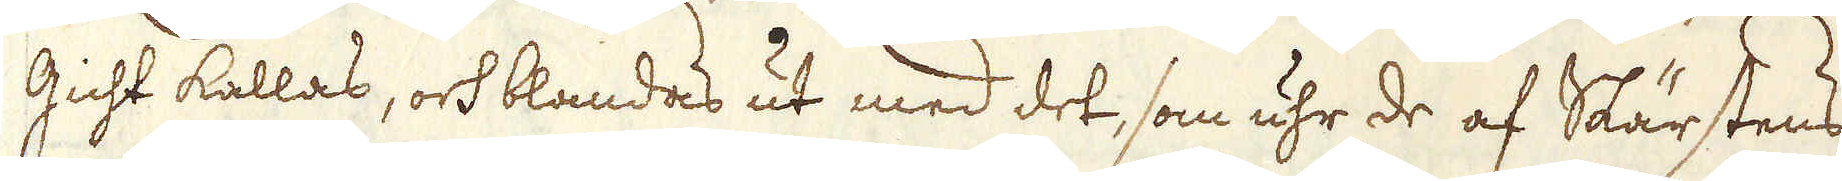Gicht kallas, och blandas ut med det, som uhr de af Skärstens
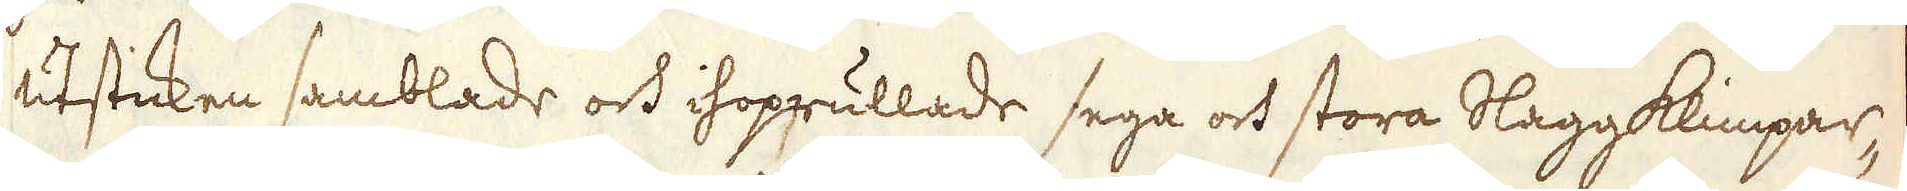utsticken samblade och ihoprullade sega och stora Slaggklimpar-
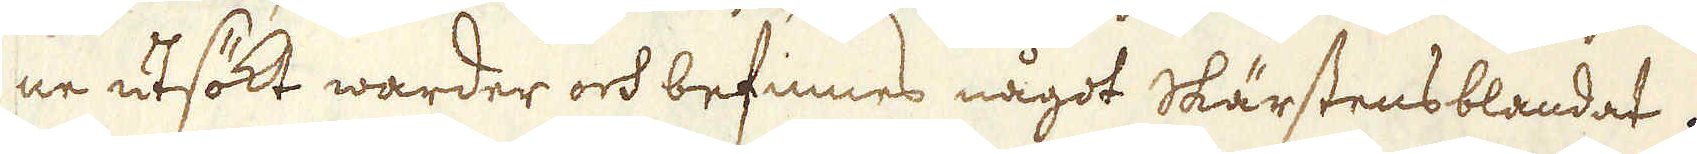ne utsökt warder och befinnes något Skärstensblandat.
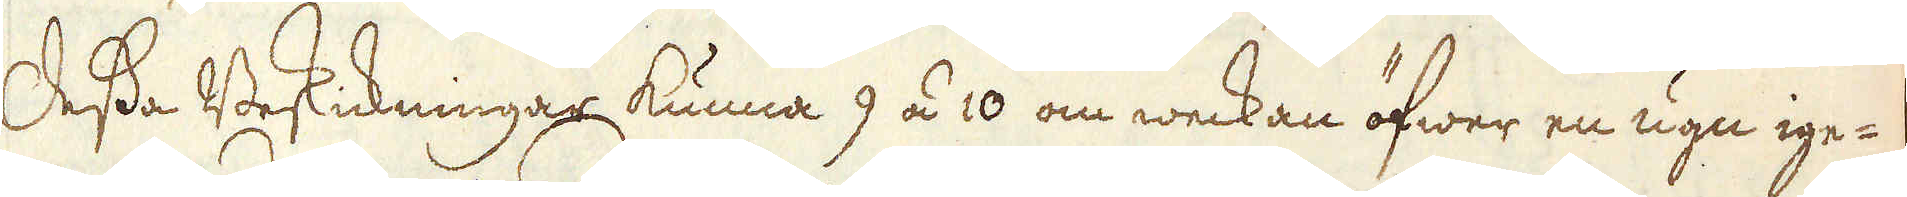Dessa Beskickningar kunna 9 á 10 om weckan öfwer en ugn ige-
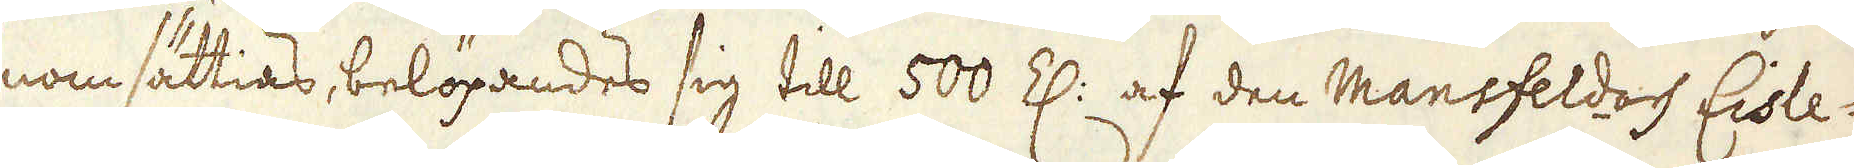nom sättias, belöpandes sig till 500 Z: af den Mansfeld- och Eisle-
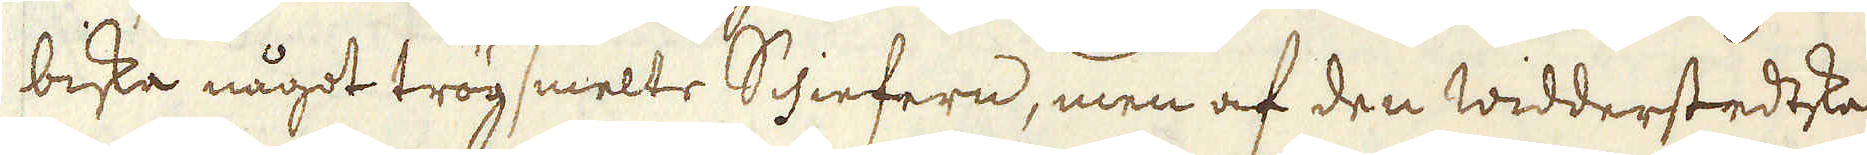biska något trögsmelte Schiefern, men af den widderstedtska
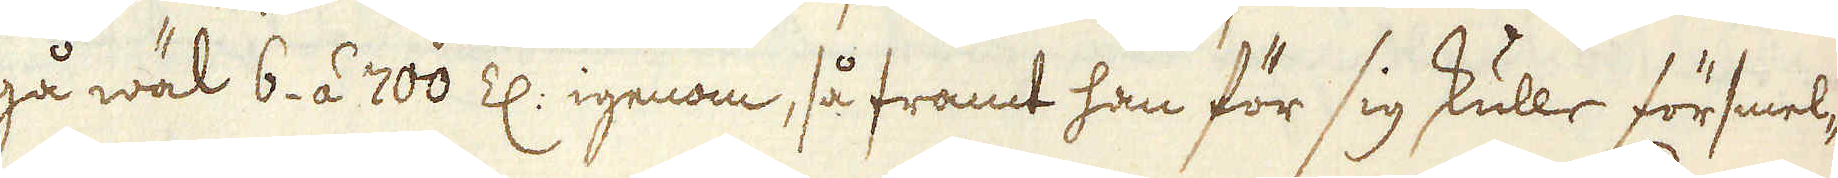gå wäl 6. á 700 Z: igenom, så framt han för sig skulle försmel-
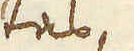tas
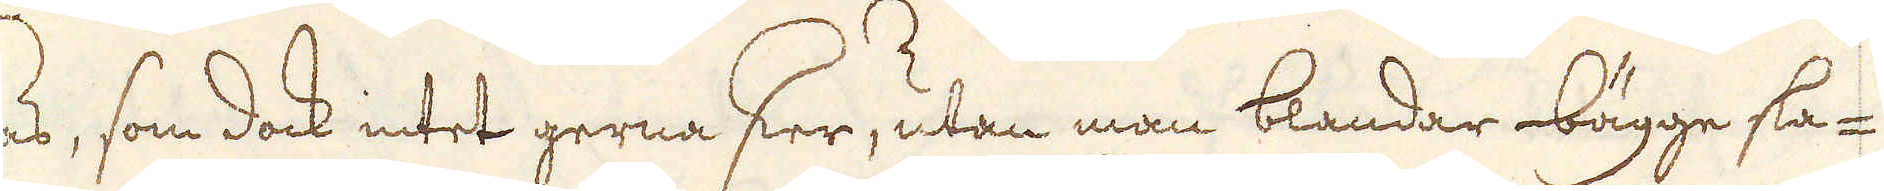tas, som dock intet gerna sker, utan man blandar bägge sla-
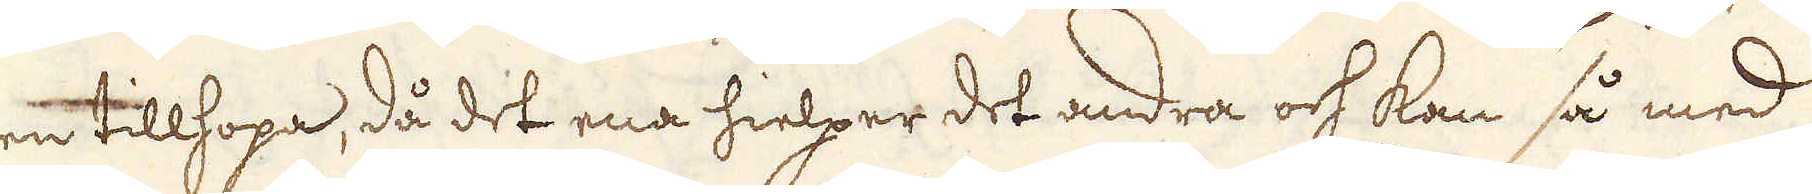en tillhopa, då det ena hielper det andra och kan så med
